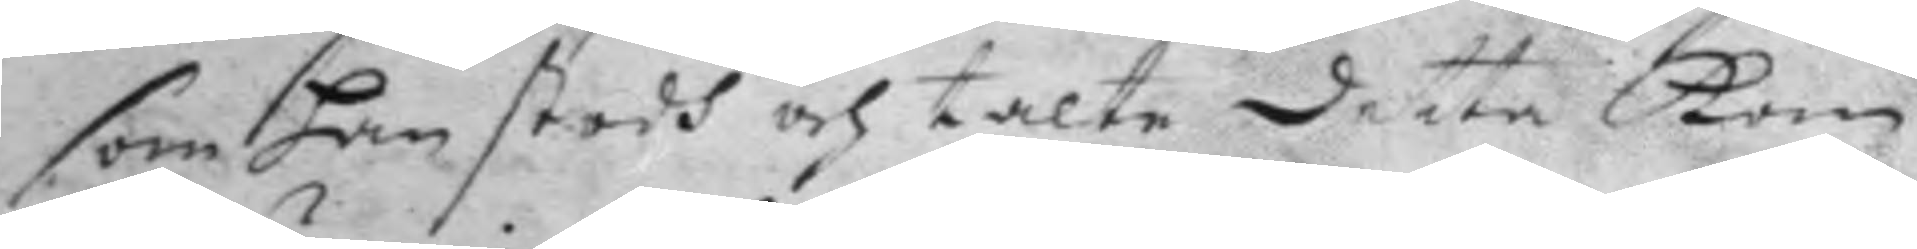som han stodh och talte detta Kom
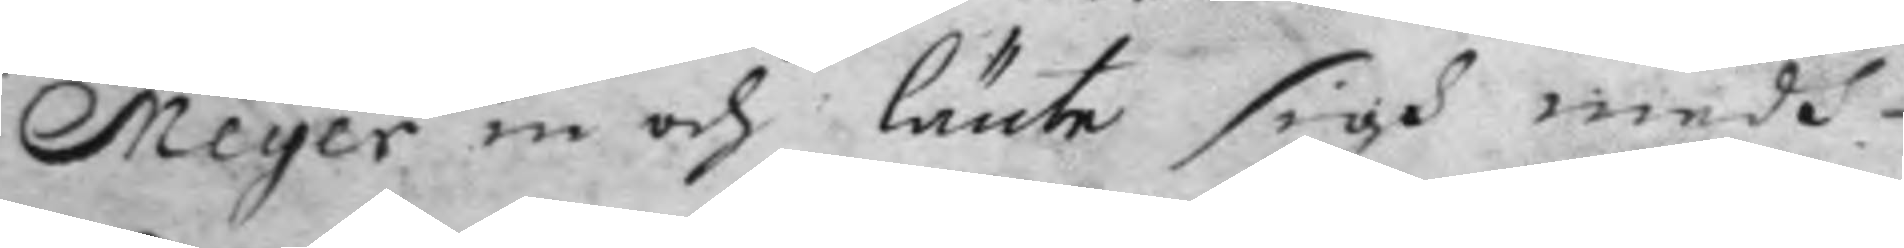Meyer in och länte sigh medh
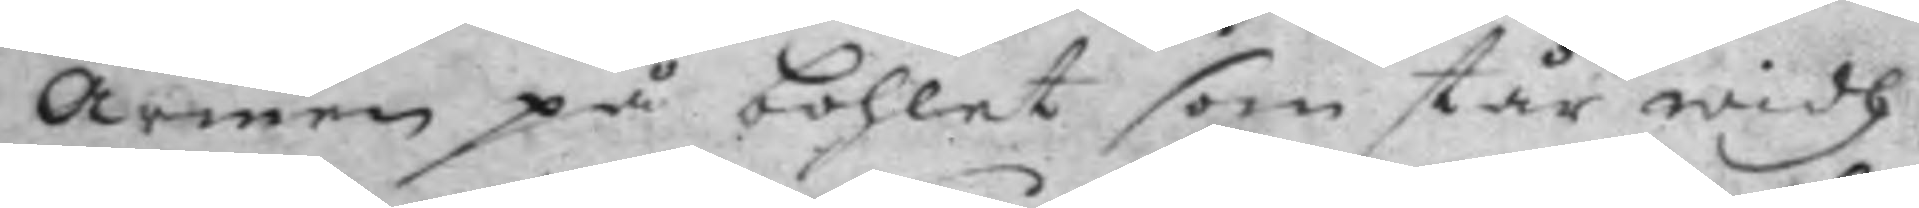Armen på bohlet som står widh
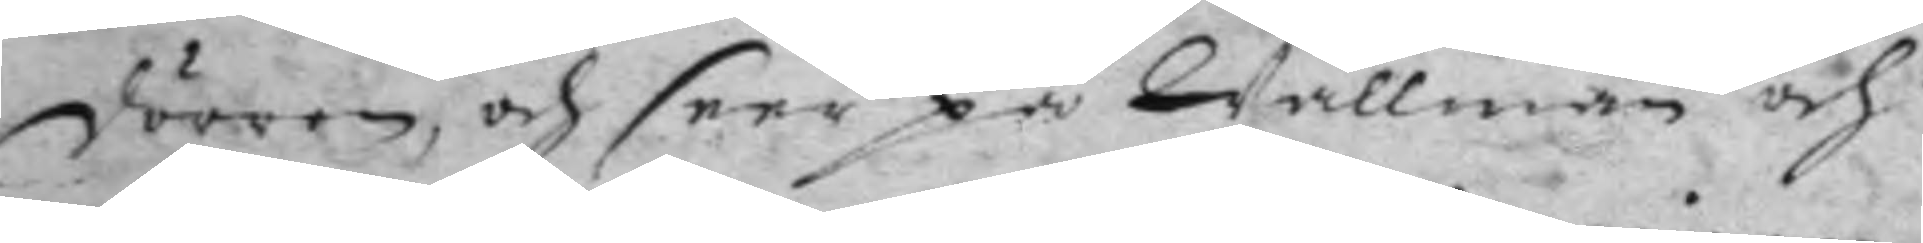dörren, och seer på Wallman och
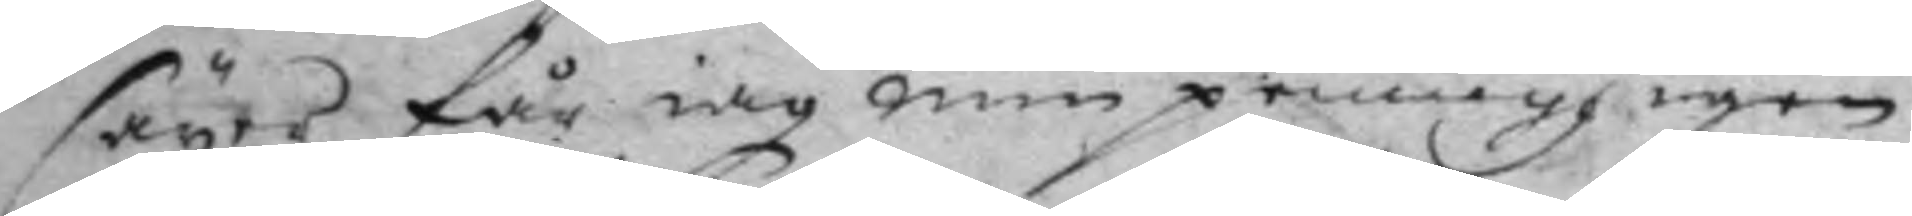säyer får iag min pennigh igen
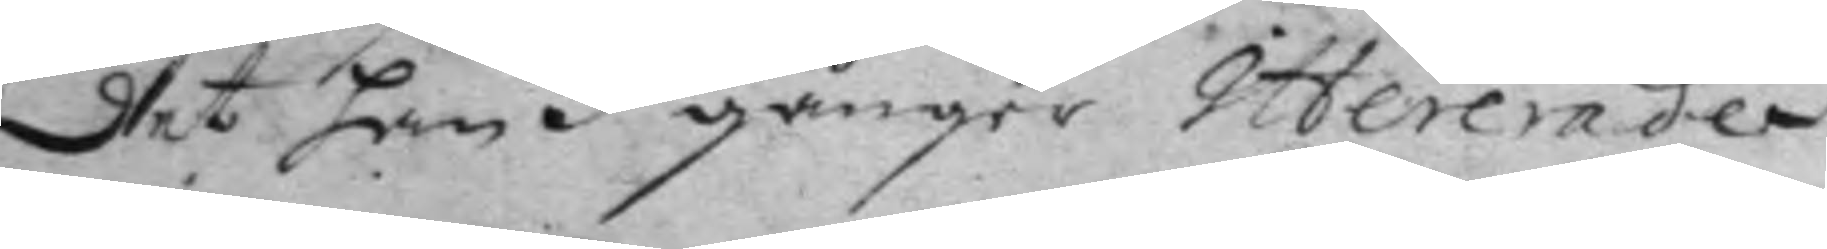det han 3 gånger Ittererade
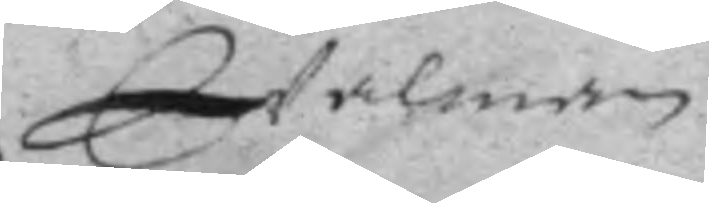Walman
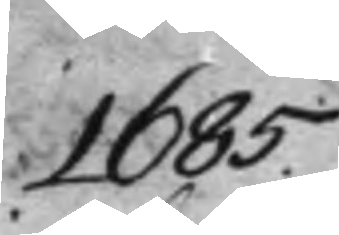1685.
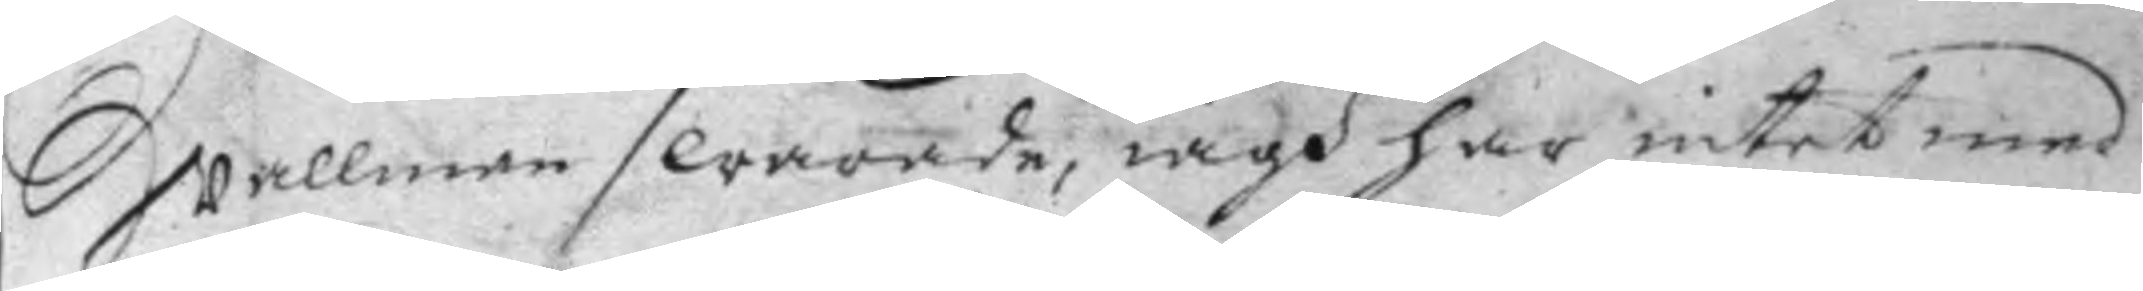Wallmen swarade, iagh har intet med
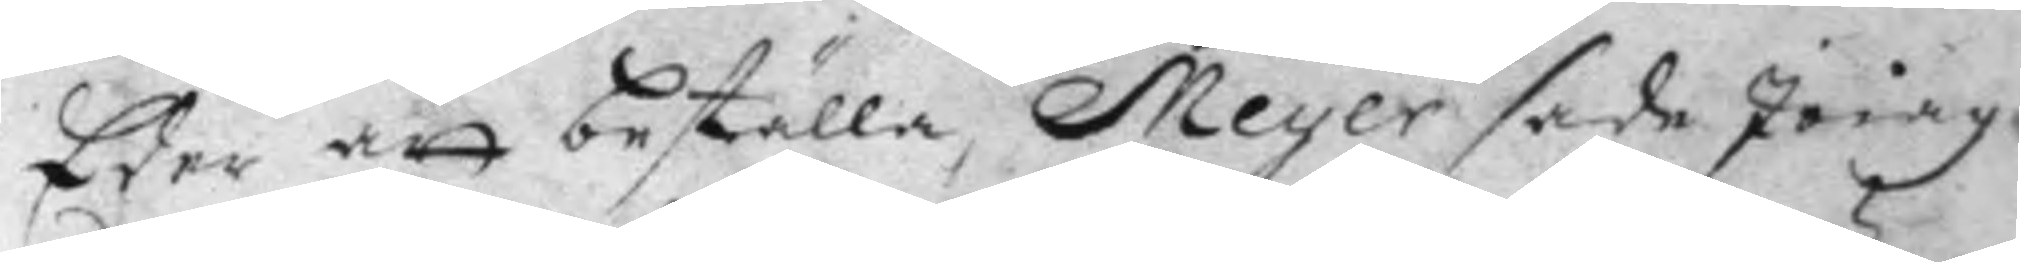Eder att beställa, Meyer sade Jo iag
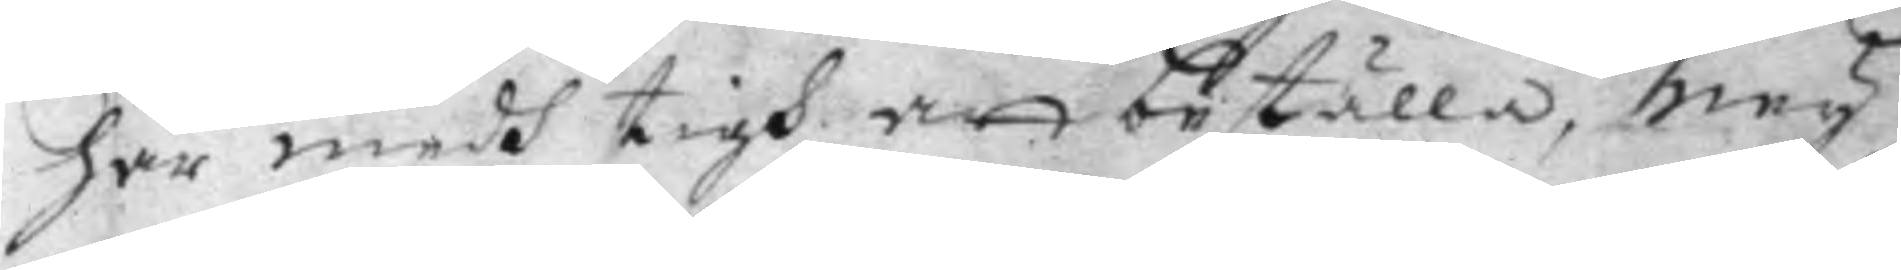har medh tigh att beställa, Ney
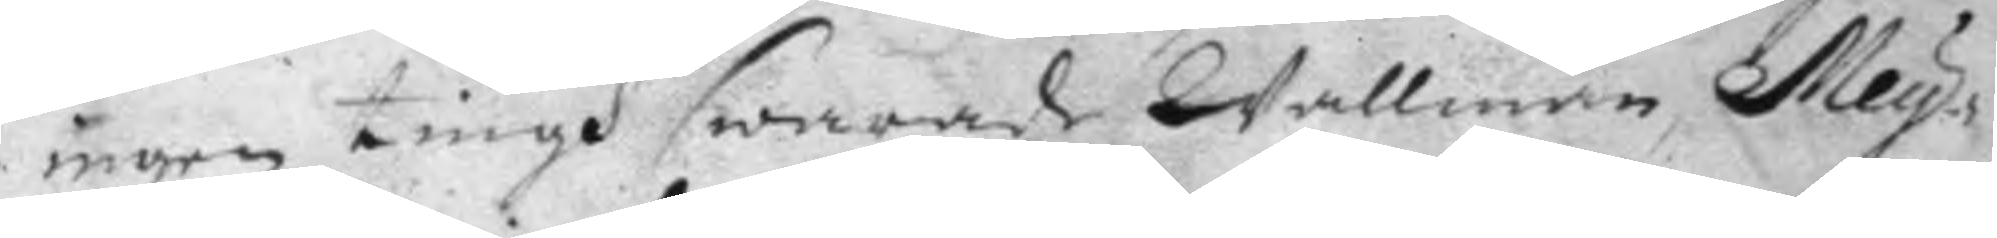ingen tingh swarade Wallman, Mey¬
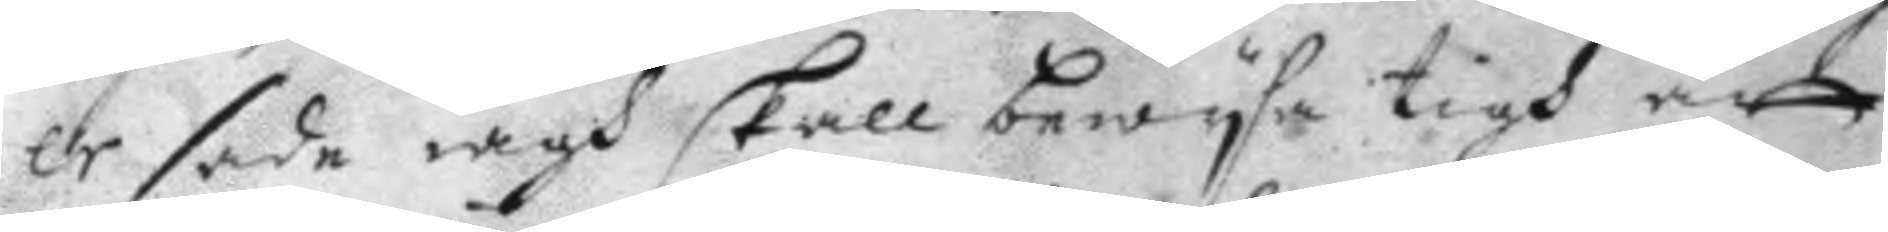er sade iagh skall bewysa tigh att
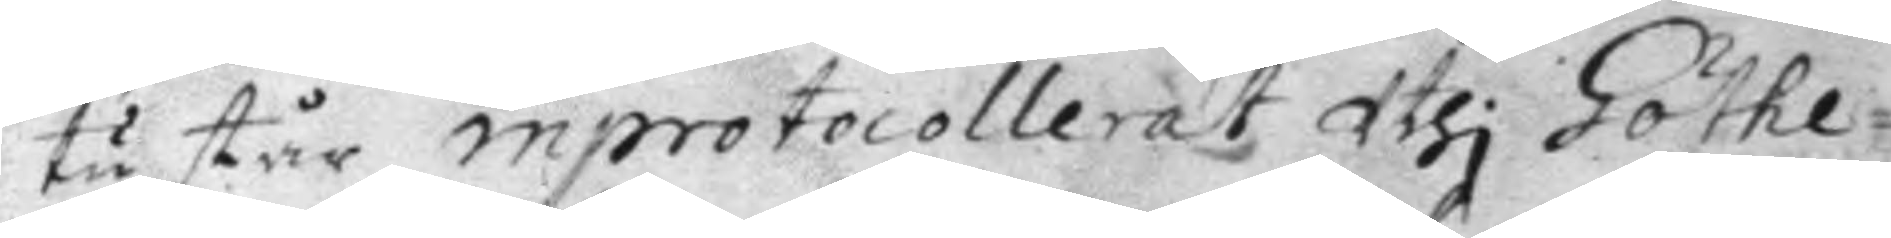tu står inprotocollerat Uthi Göthe¬
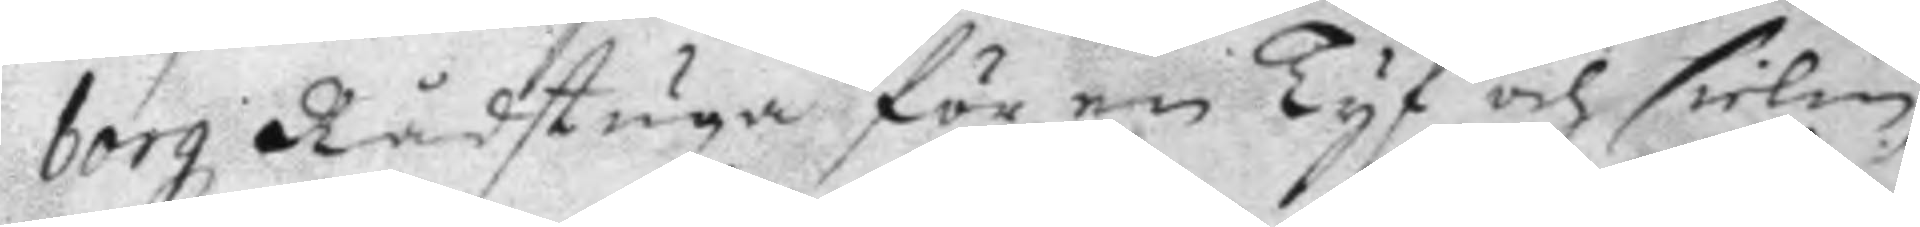borg Rådstuga för en Tyf och sielm,
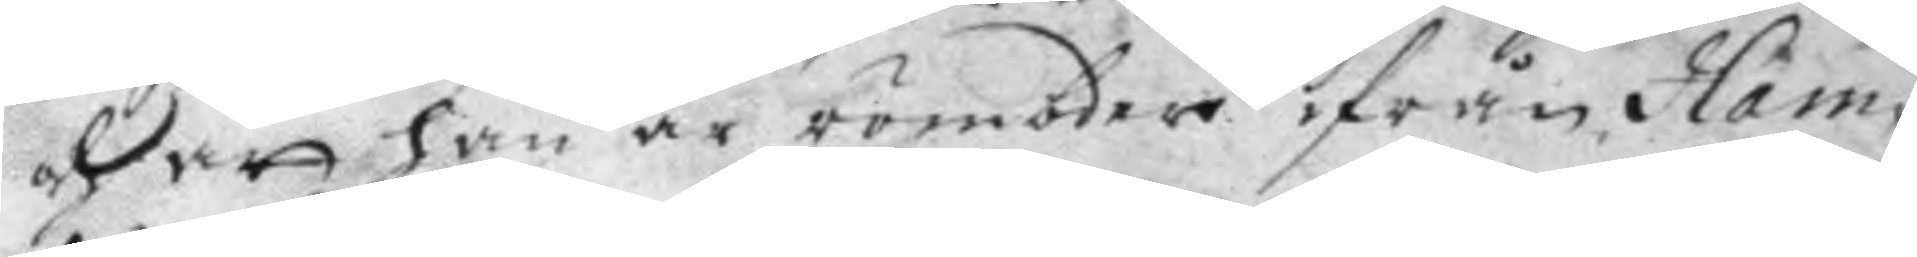och att han är römbder ifrån Ham¬
